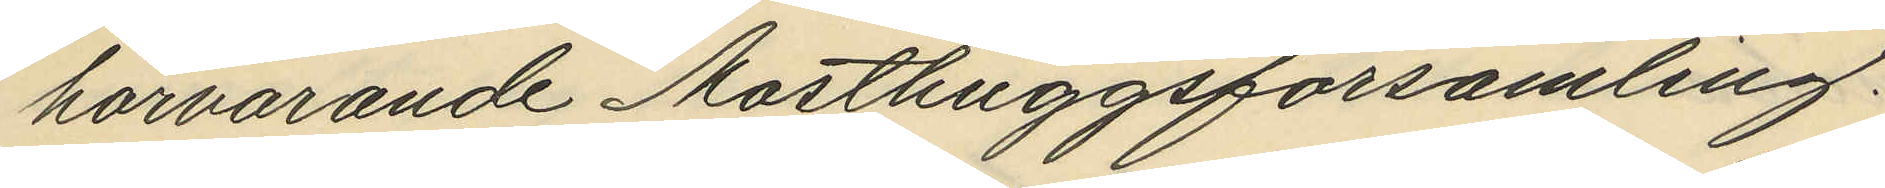härvarande Masthuggsförsamling.
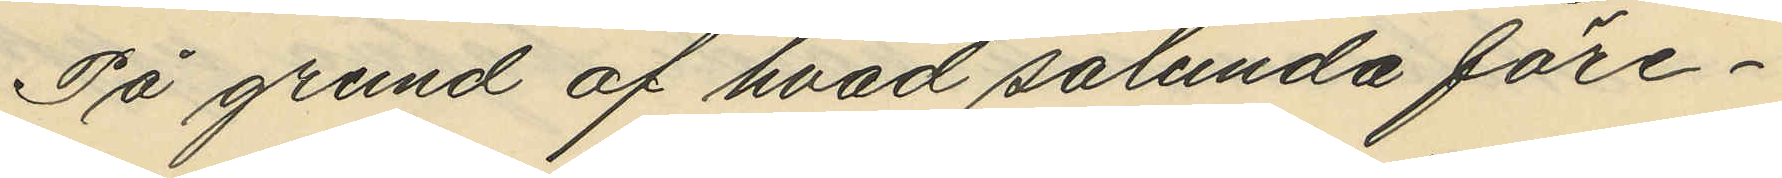På grund af hvad sålunda före¬
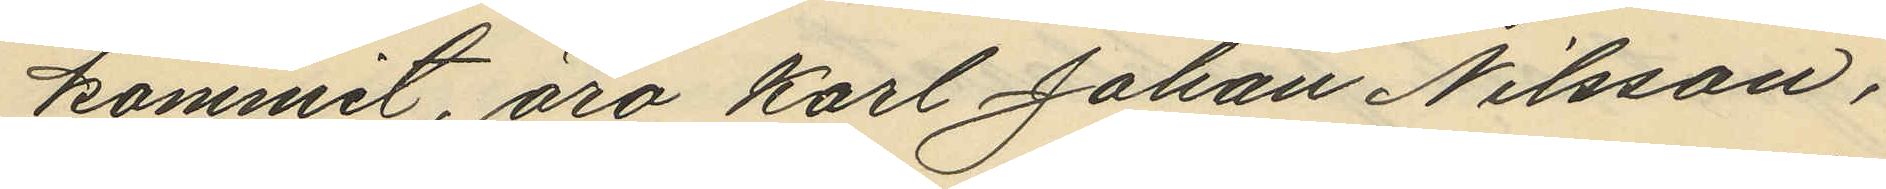kommit, äro Karl Johan Nilsson,
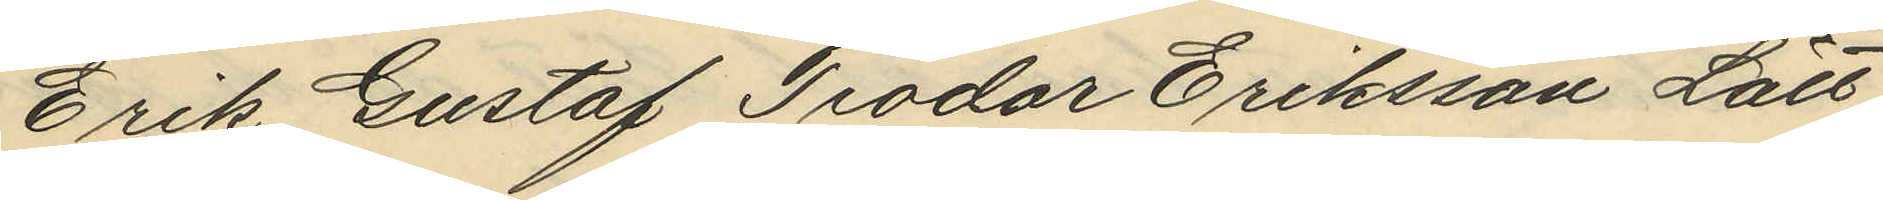Erik Gustaf Teodor Eriksson Lätt,
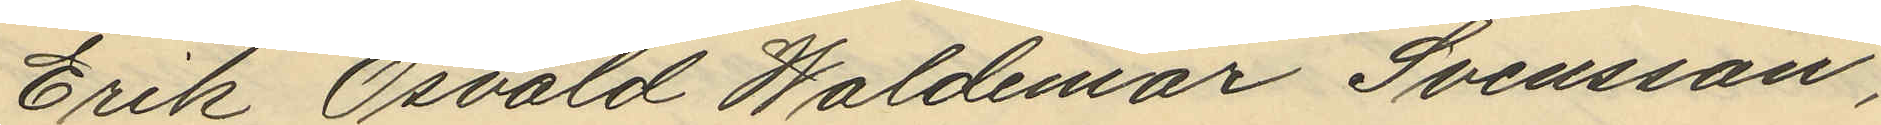Erik Osvald Waldemar Svensson,
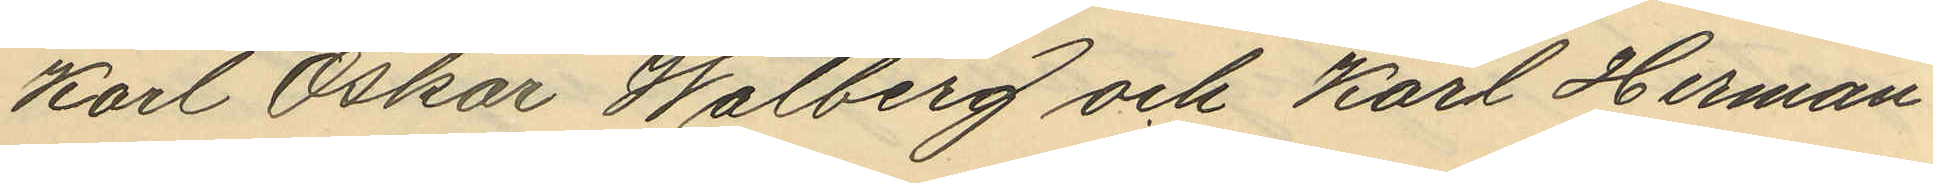Karl Oskar Walberg och Karl Herman
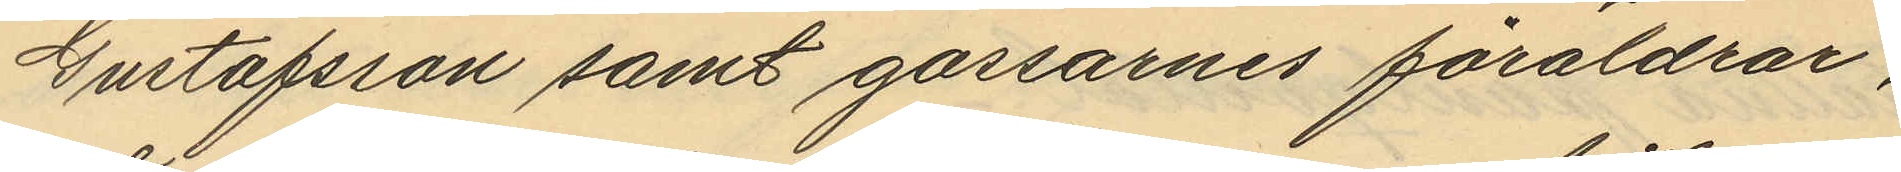Gustafsson samt gossarnes föräldrar,
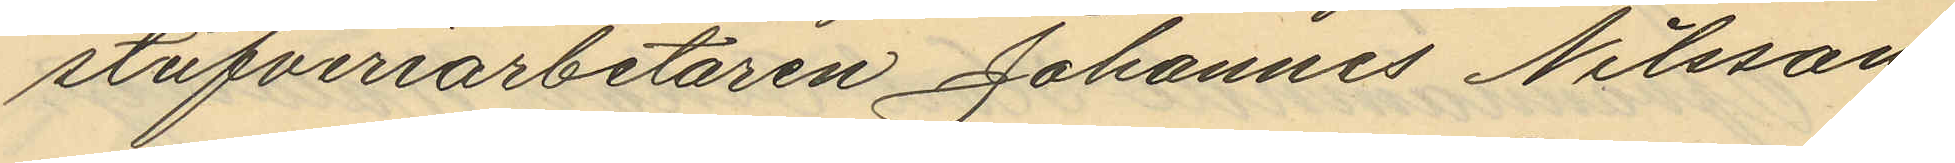stufveriarbetaren Johannes Nilsson
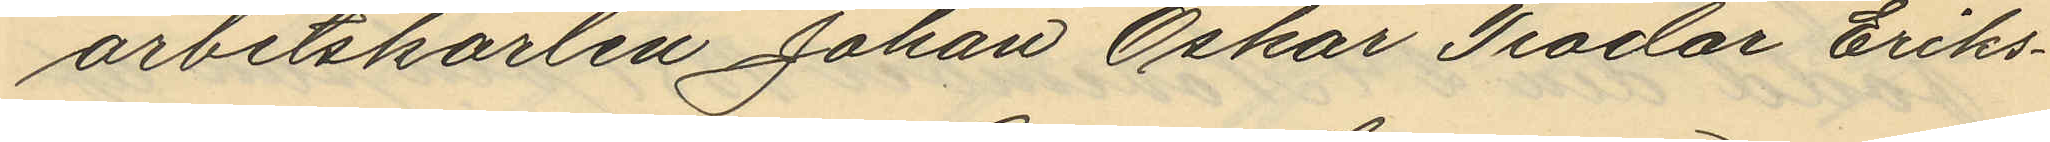arbetskarlen Johan Oskar Teodar Eriks¬
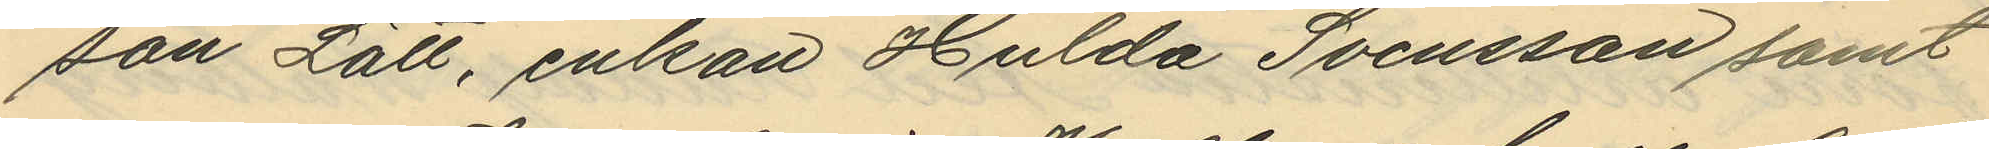son Lätt, enkan Hulda Svensson samt
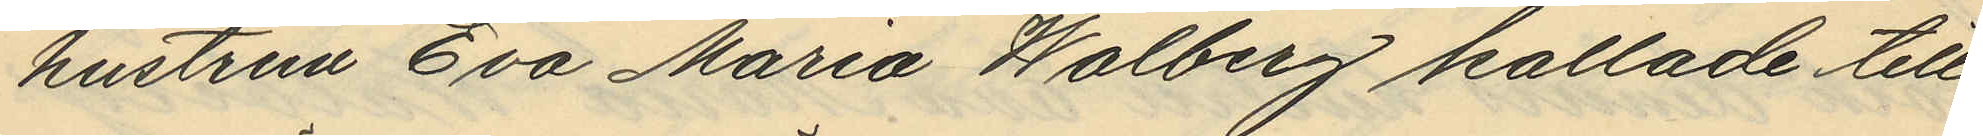hustrun Eva Maria Walberg kallade till
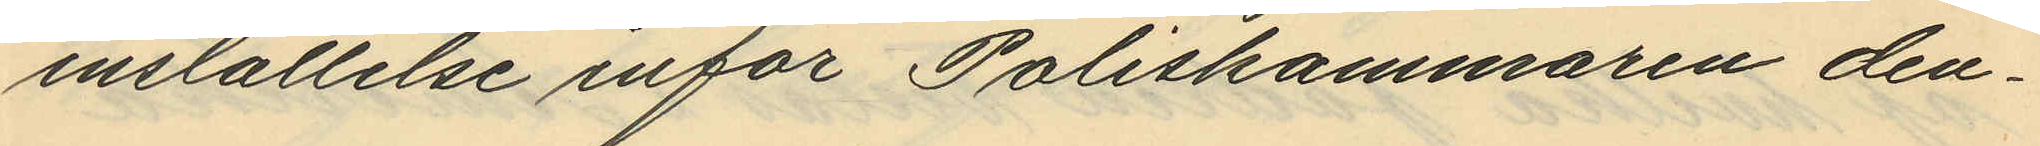inställelse inför Poliskammaren den¬
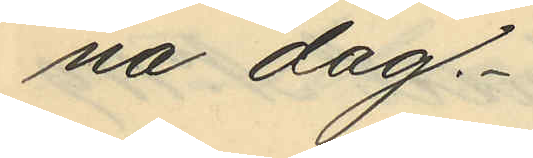na dag.
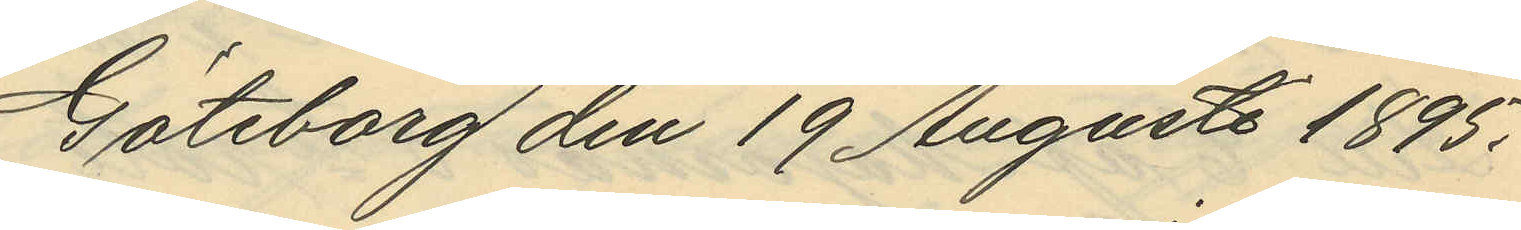Göteborg den 19 Augusti 1895.
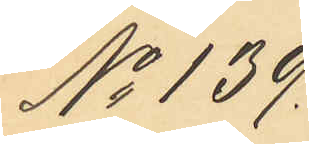No 139.
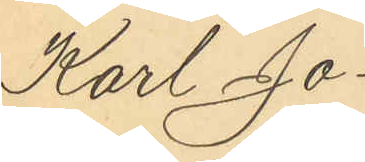Karl Jo¬
